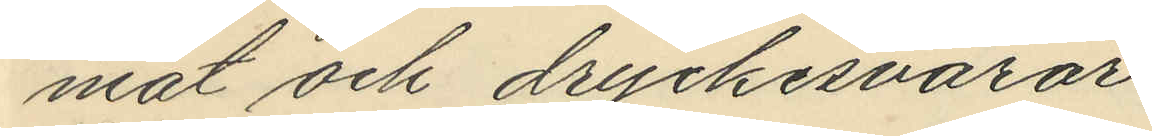mat och dryckesvaror.
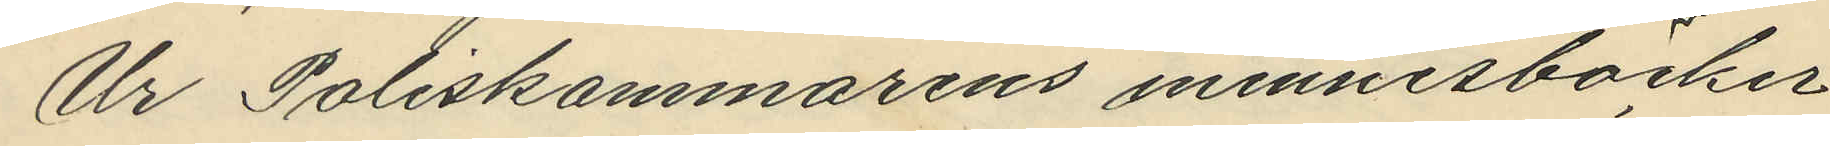Ur Poliskammarens minnesböcker
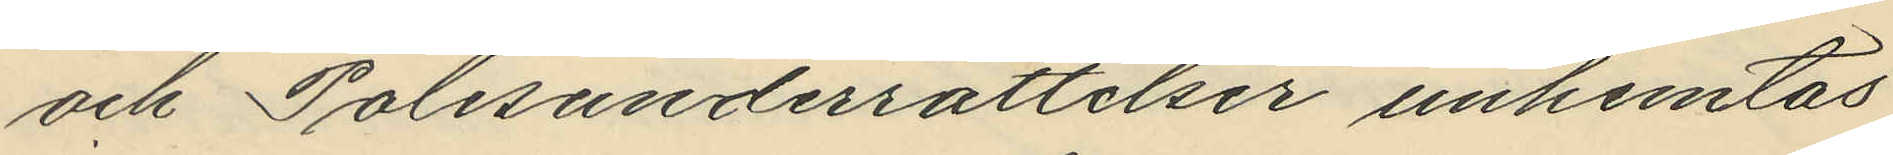och Polisunderrättelser inhemtas
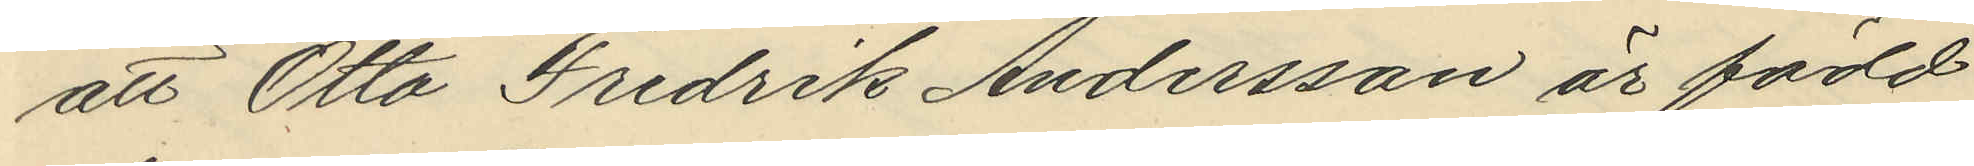att Otto Fredrik Andersson är född
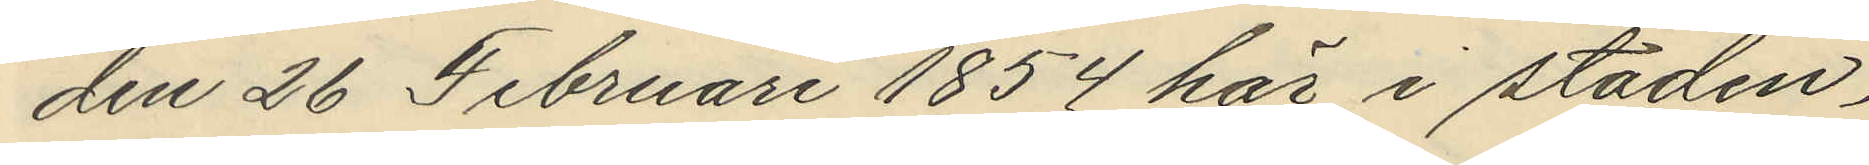den 26 Februari 1854 här i staden.
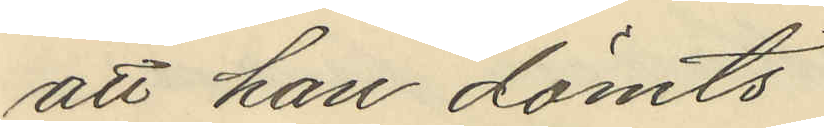att han dömts
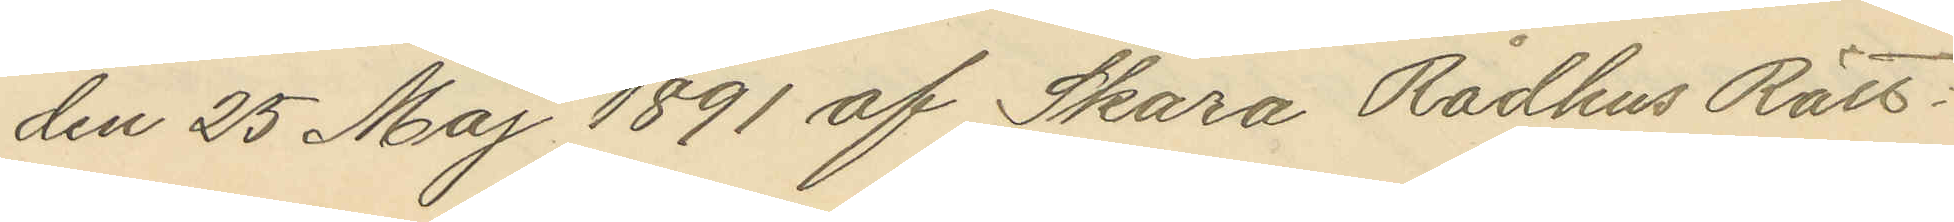den 25 Maj 1891 af Skara Rådhus Rätt
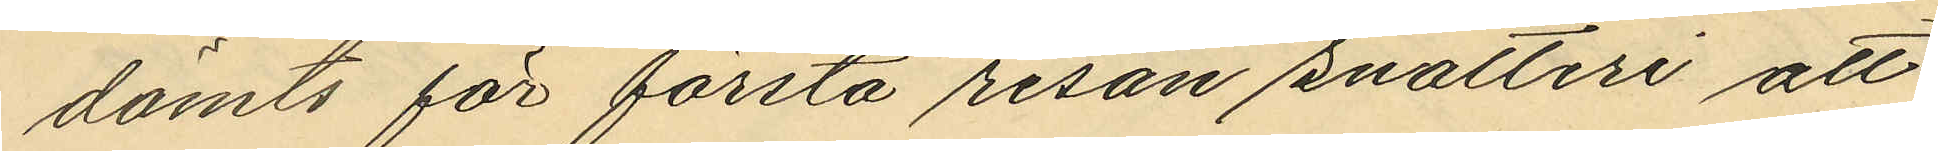dömts för första resan snatteri att
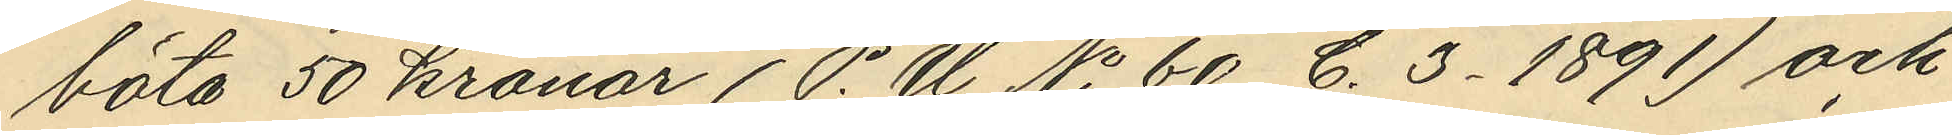böta 50 kronar (P.U No 60 C. 3. 1891) och
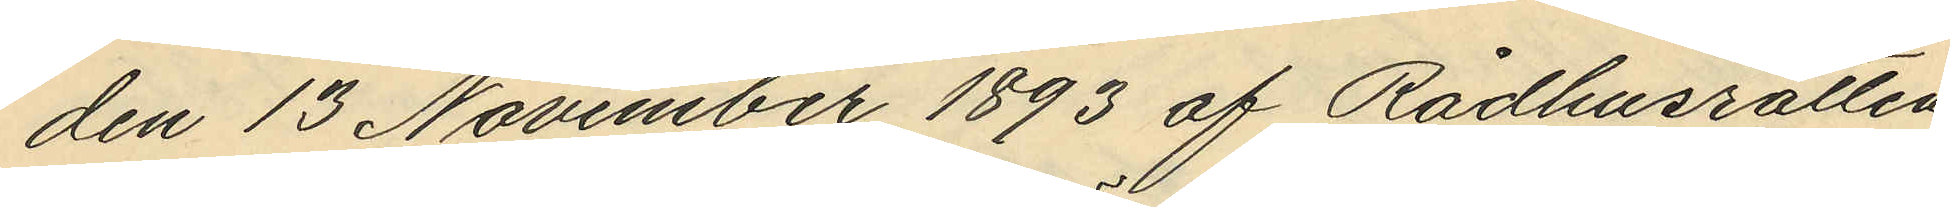den 13 November 1893 af Rådhusrätten
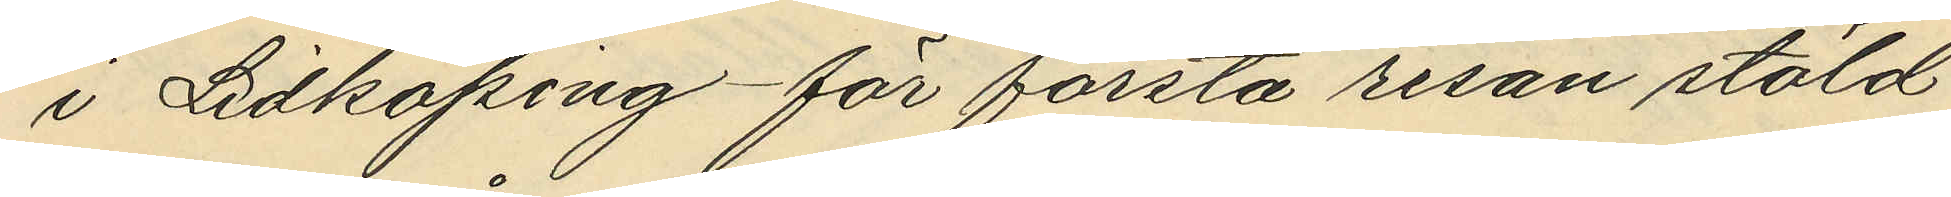i Lidköping för första resan stöld
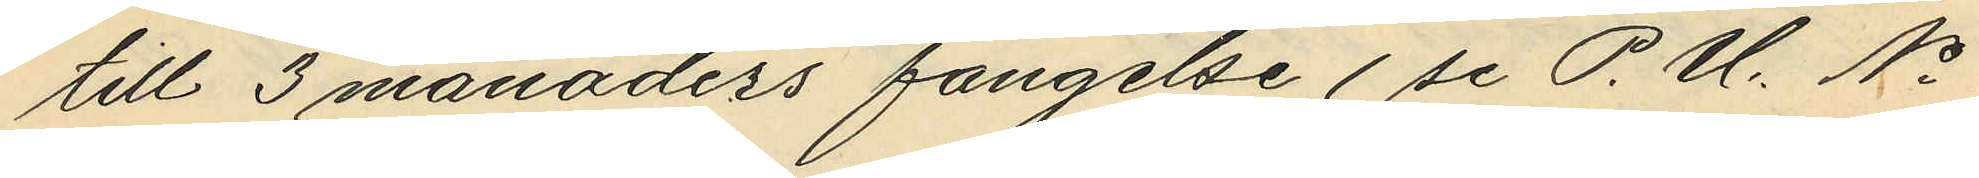till 3 månaders fängelse (se P.U. No
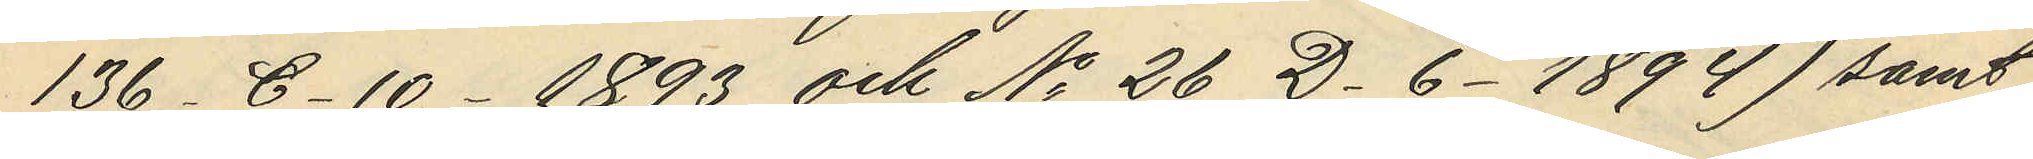136 C.10. 1893 och No 26 D.6. 1894) samt
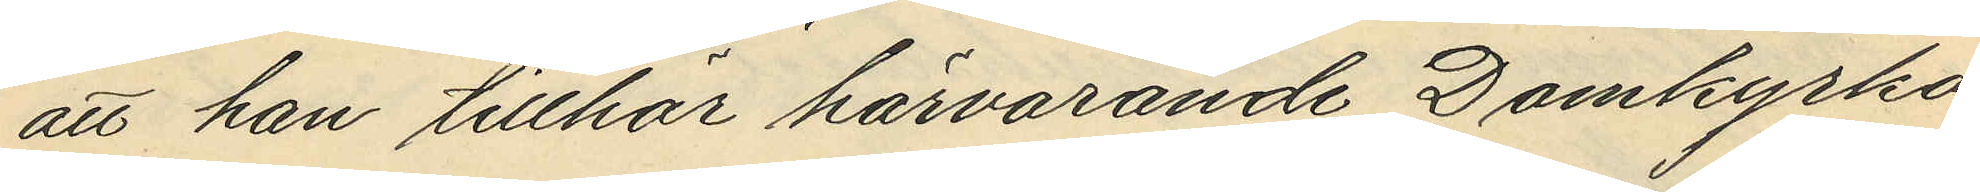att han tillhör härvarande Domkyrko¬
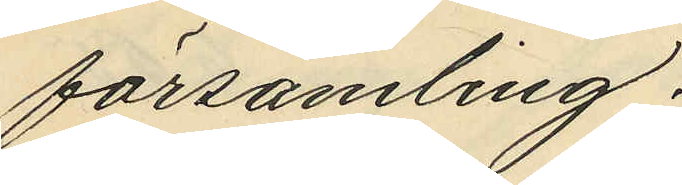församling.
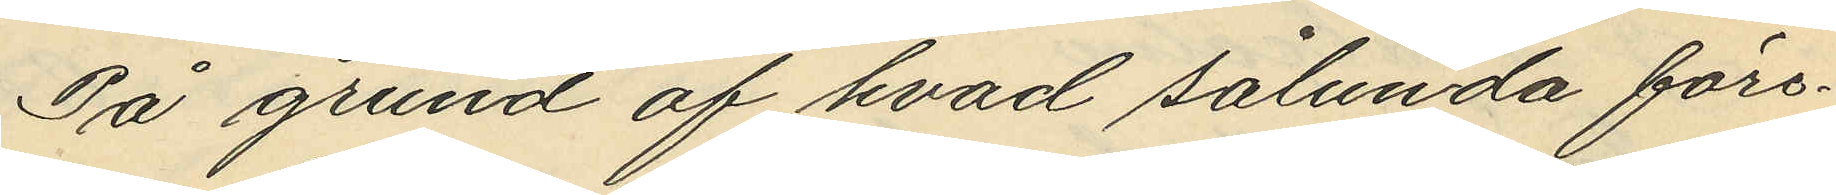På grund af hvad sålunda före¬
